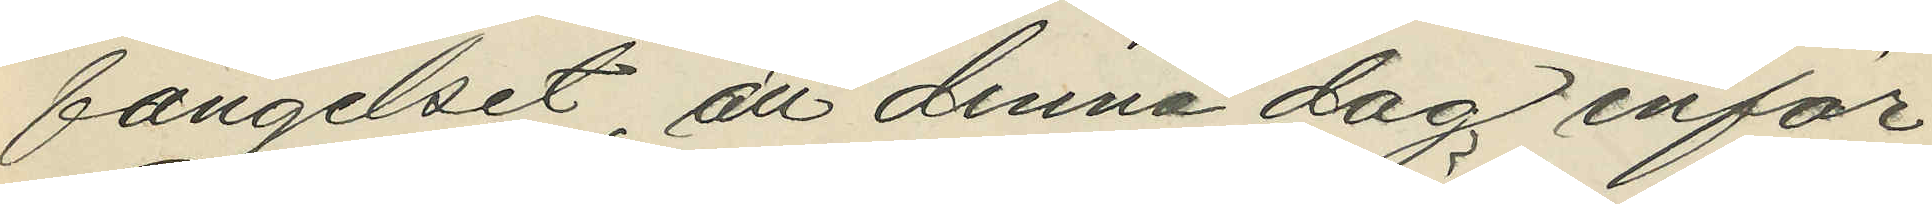fängelset, att denna dag inför
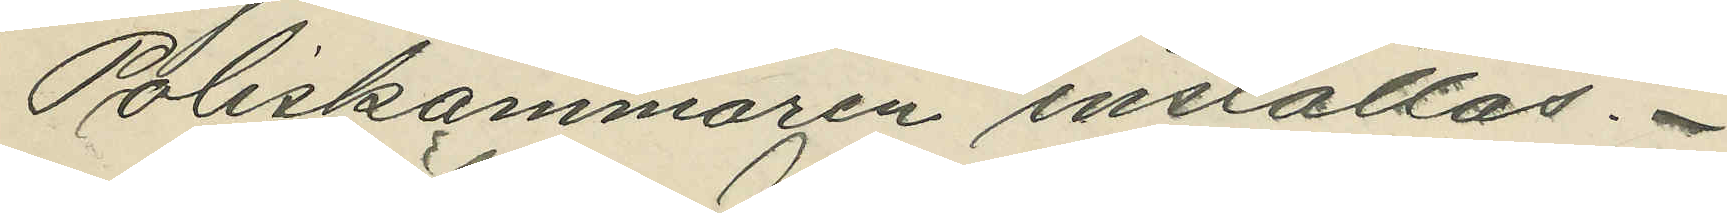Poliskammaren inställas.
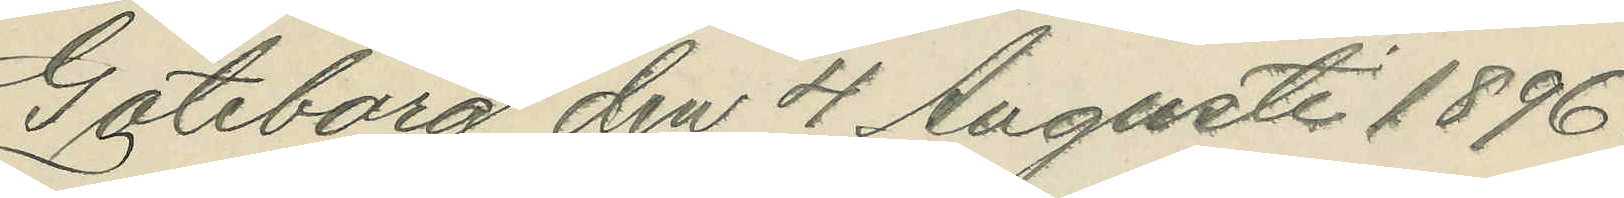Göteborg den 4 Augusti 1896.
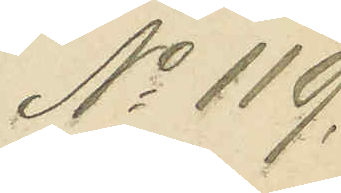No 119.
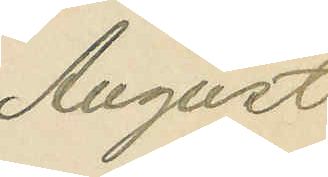August
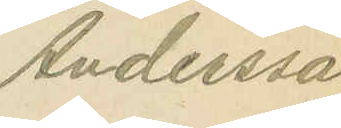Andersson
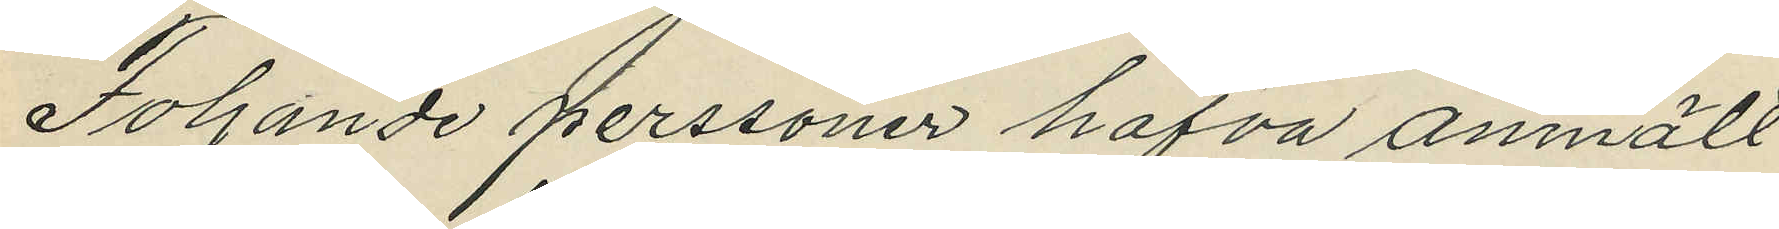Foljande perssoner hafva anmält
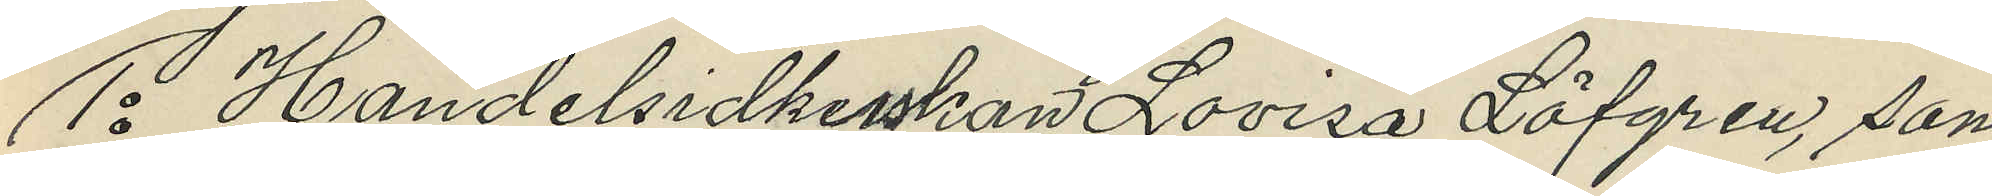1o Handelsidkerskan Lovisa Löfgren, som
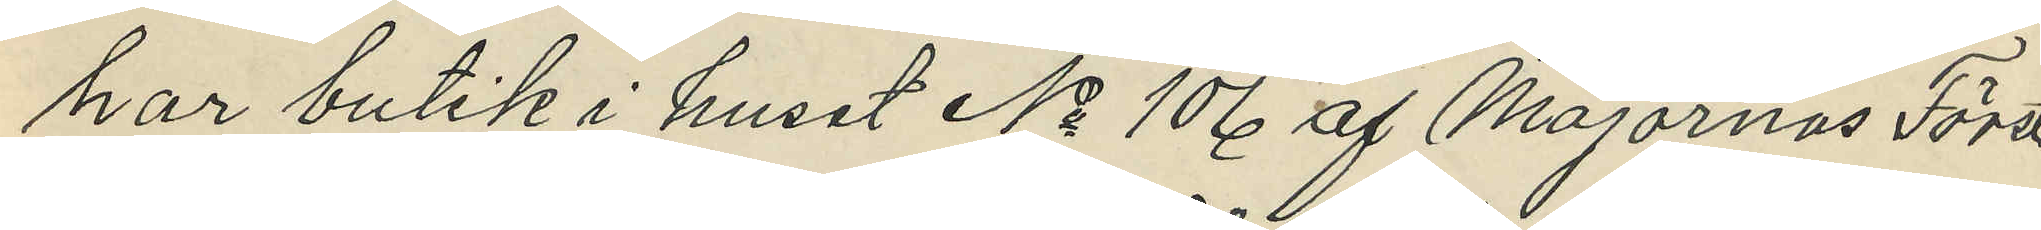har butik i huset No 106 af Majornas Förste
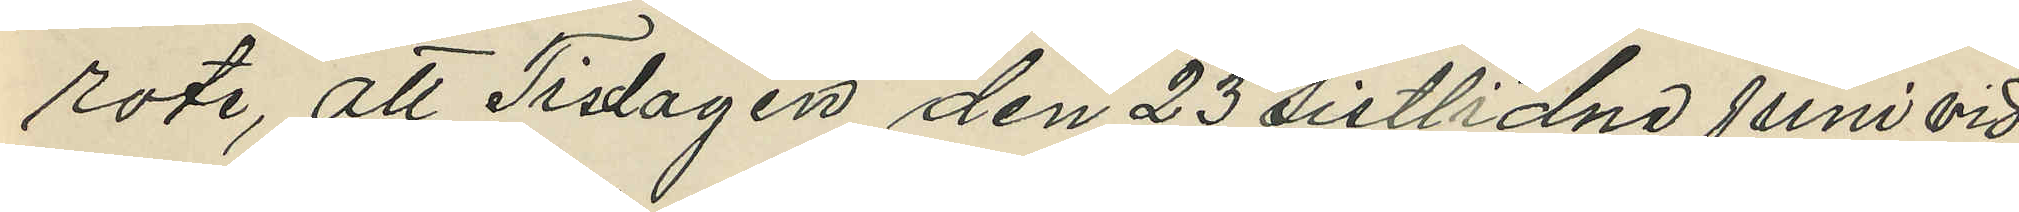rote, att Tisdagen den 23 sistlidne Juni vid
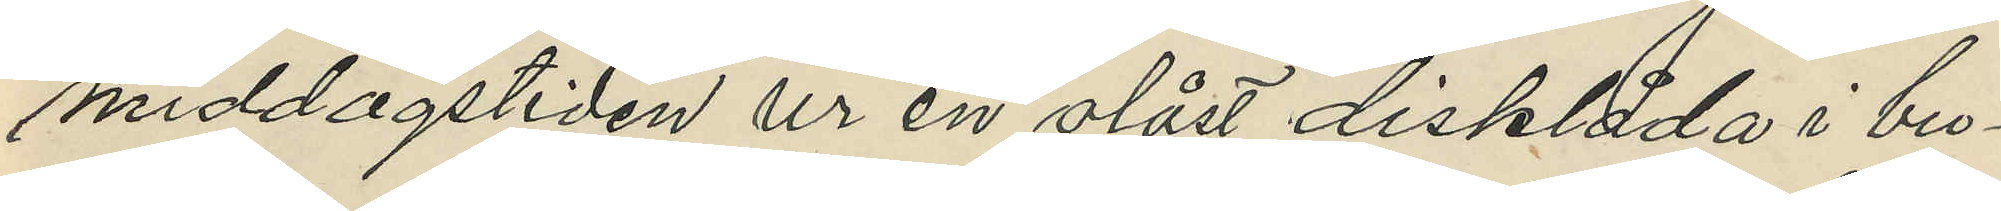middagstiden ur en olåst disklåda i bu¬
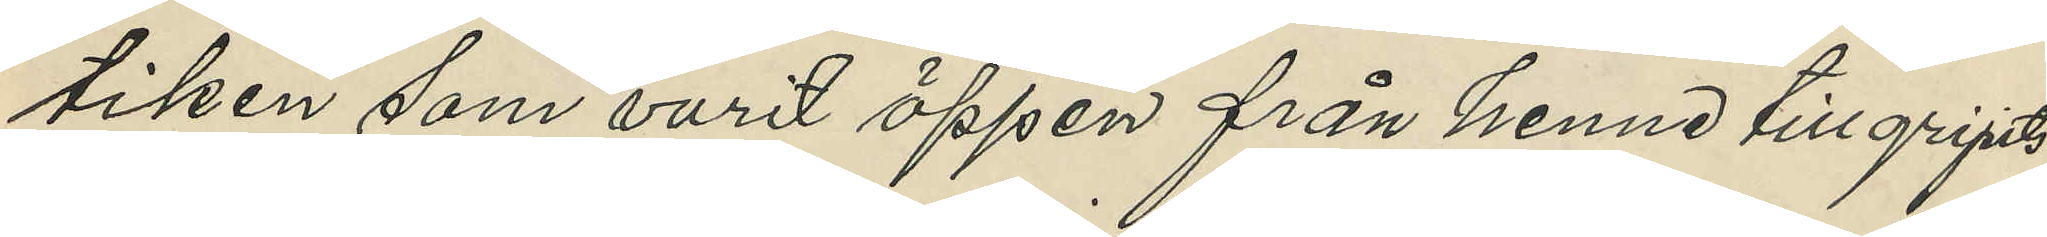tiken som varit öppen från henne tillgripits
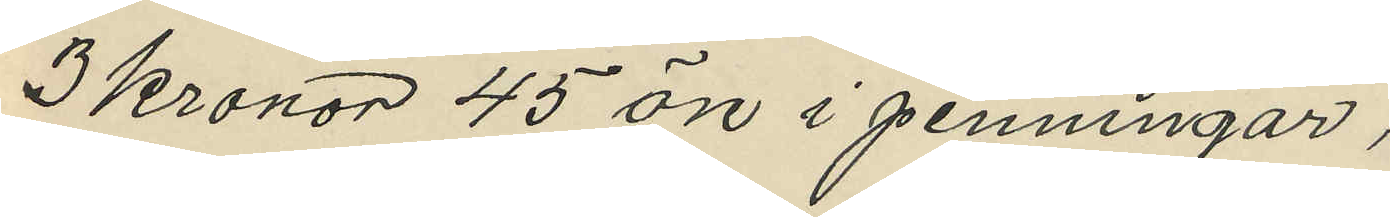3 kronor 45 öre i penningar;
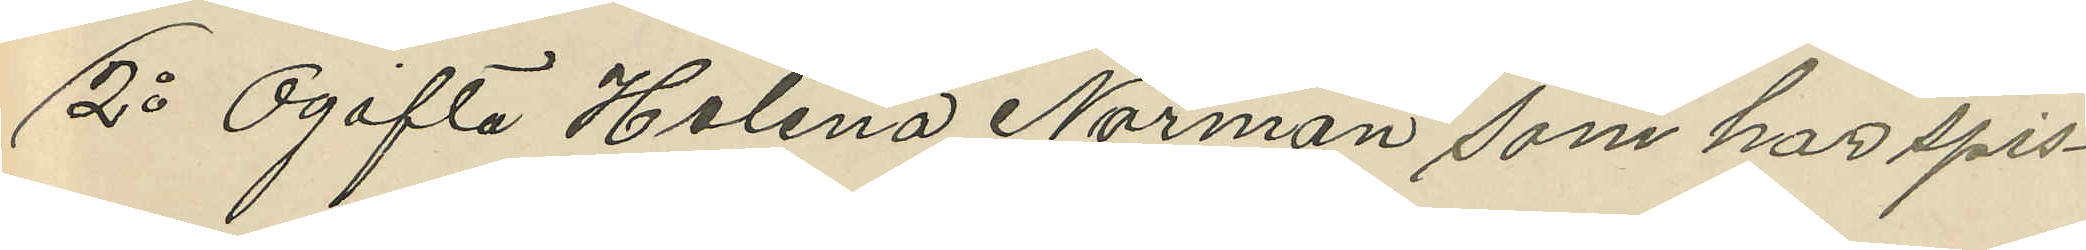2o Ogifta Helena Norman som har spis¬
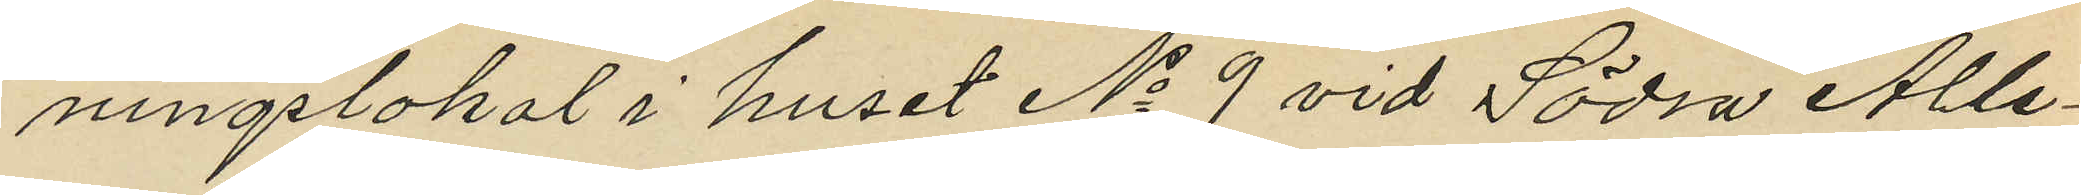ningslokal i huset No 9 vid Södia Alle¬
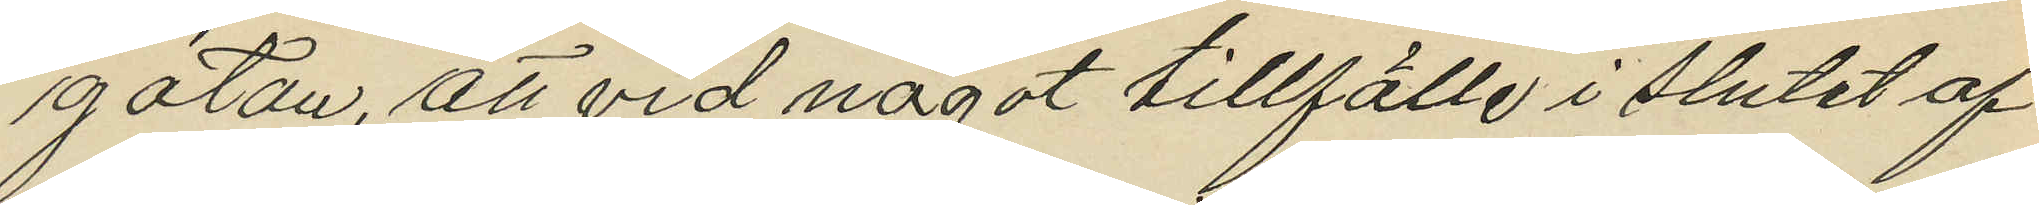gatan, att vid något tillfälle i slutet af
